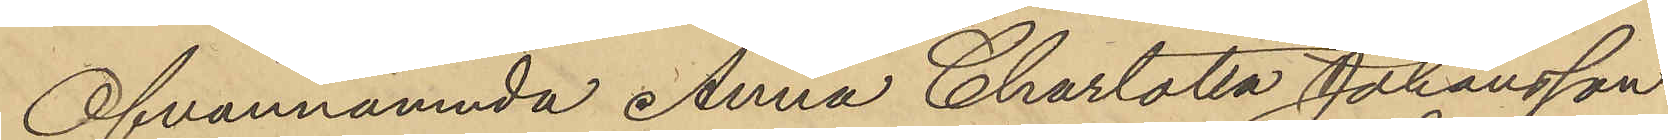Ofvannämnda Anna Charlotta Johansson
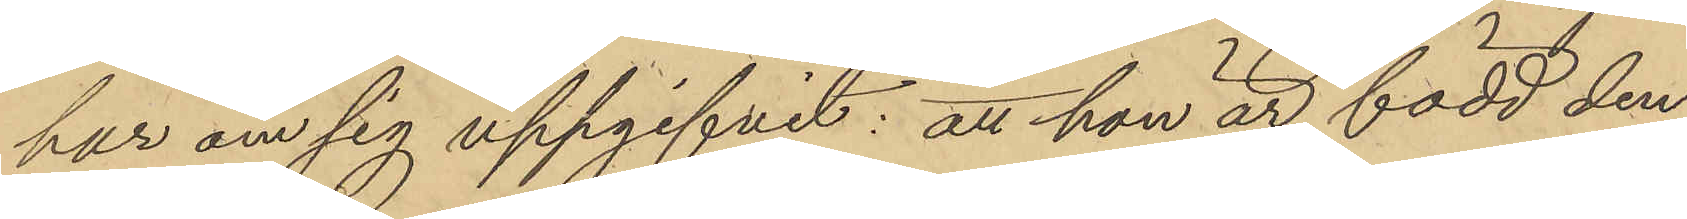har om sig uppgifvit: att hon är född den
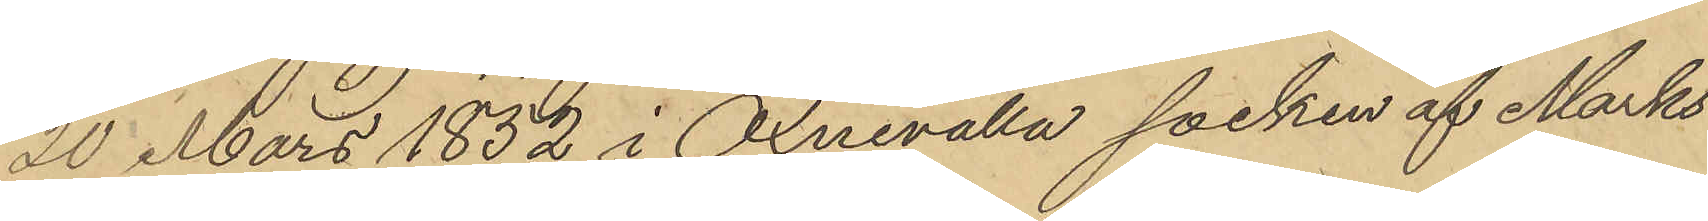20 Mars 1852 i Öxnevalla socken af Marks
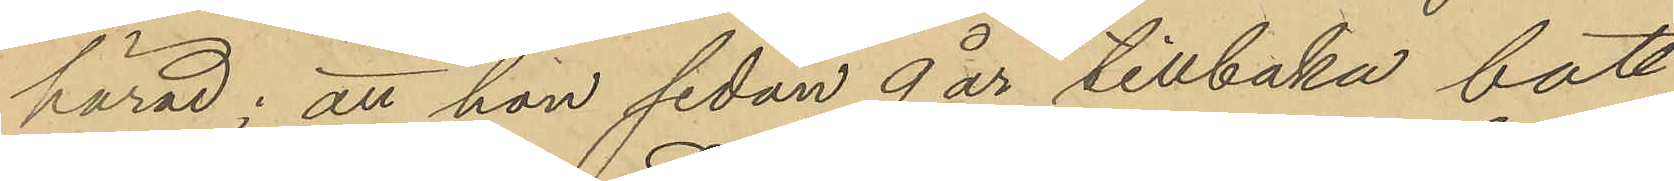härad; att hon sedan 9 år tillbaka bott
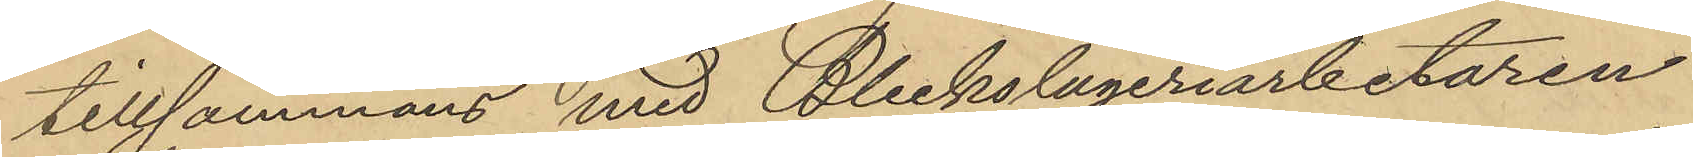tillsammans med Bleckslageriarbetaren
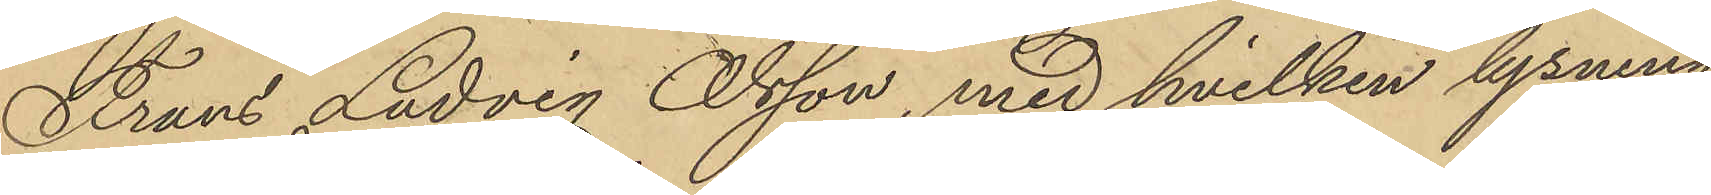Frans Ludvig Olsson, med hvilken lysning
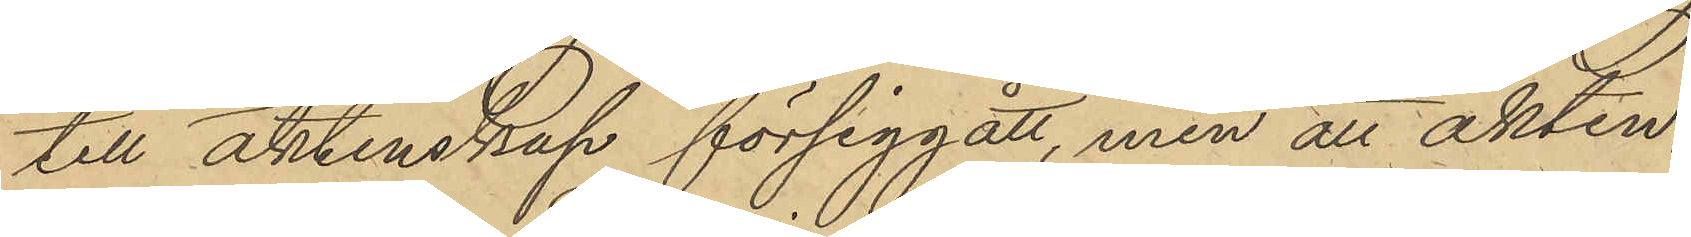till äktenskap försiggått, men att äkten-
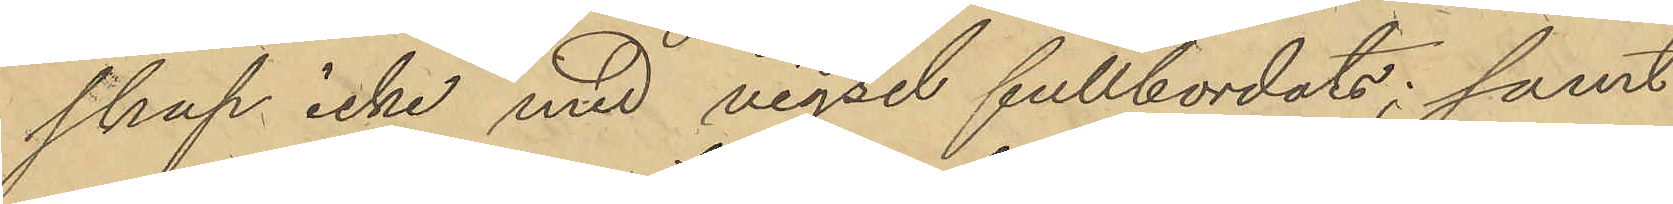skap icke med vigsel fullbordats; samt
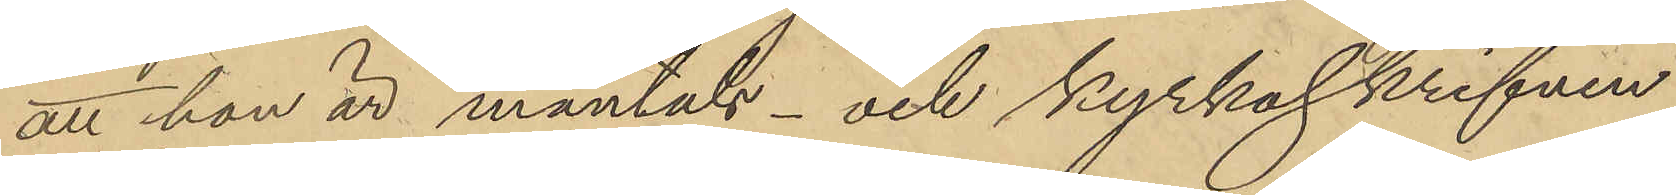att hon är mantals- och kyrkoskrifven
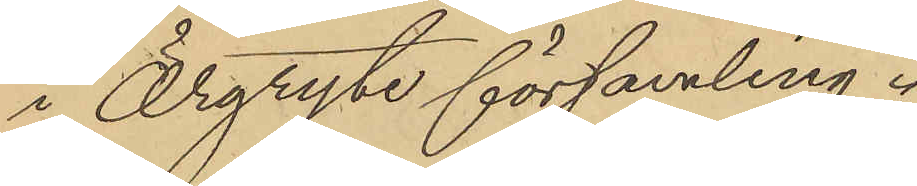i Örgryte församling.
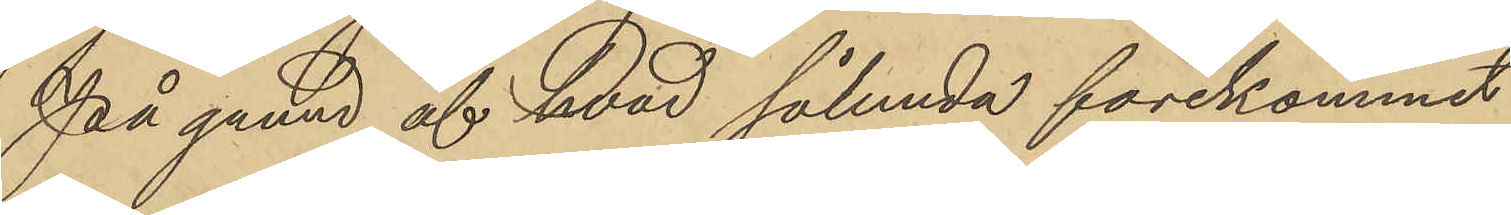På grund af hvad sålunda förekommit
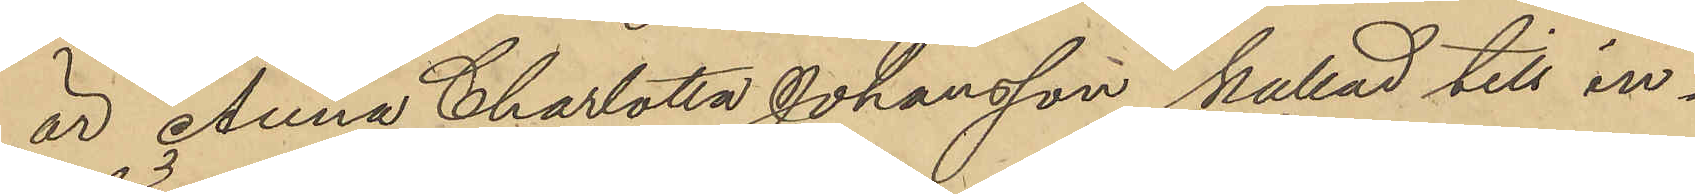är Anna Charlotta Johansson kallad till in¬
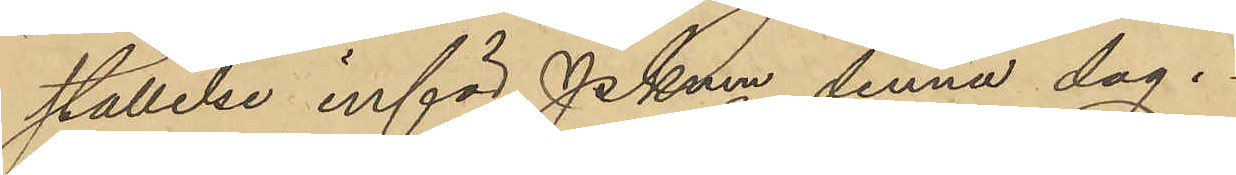ställelse inför PKmn denna dag.
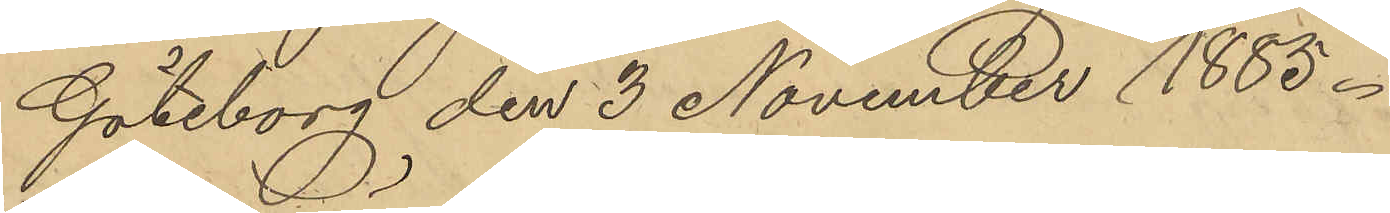Göteborg den 3 November 1885.
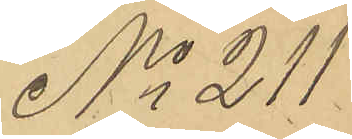No 211.
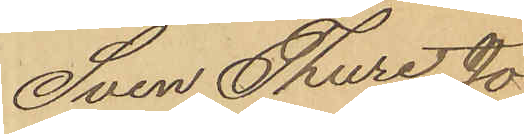Sven Thure Jo¬
